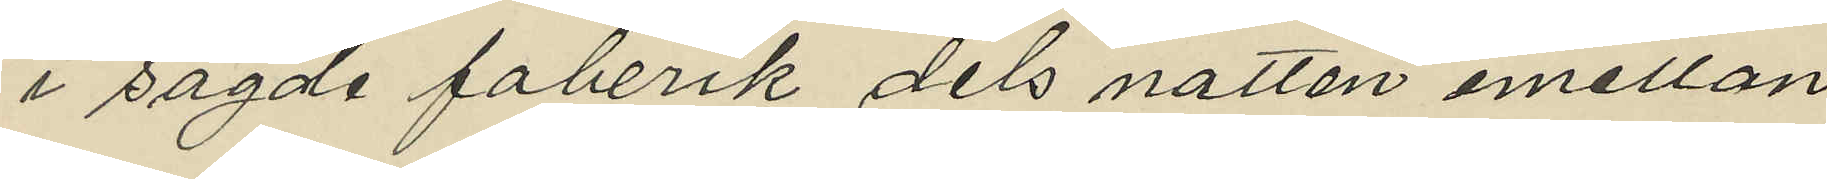i sagde faberik dels natten emellan
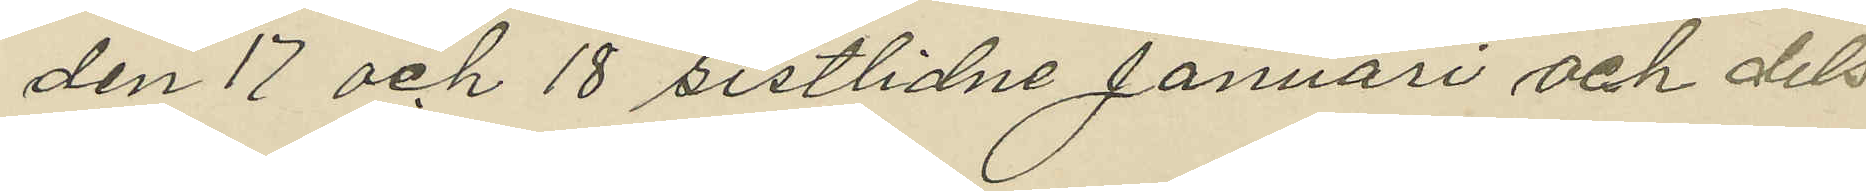den 17 och 18 sistlidne Januari och dels
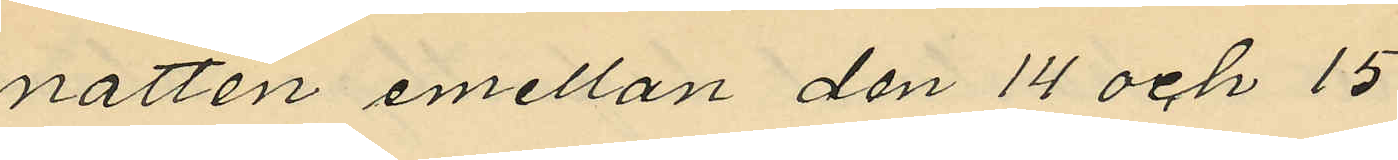natten emellan den 14 och 15
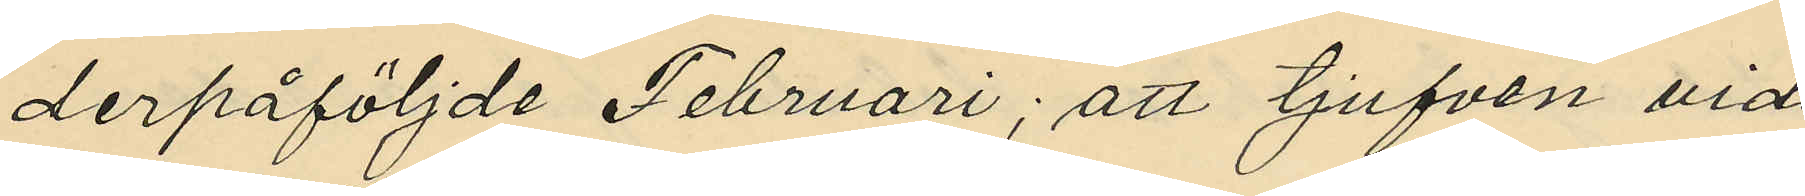derpåföljde Februari; att tjufven vid
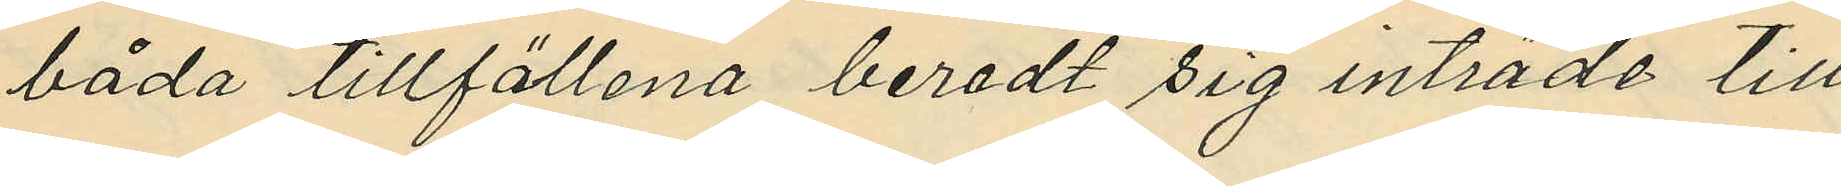båda tillfällena beredt sig inträde till
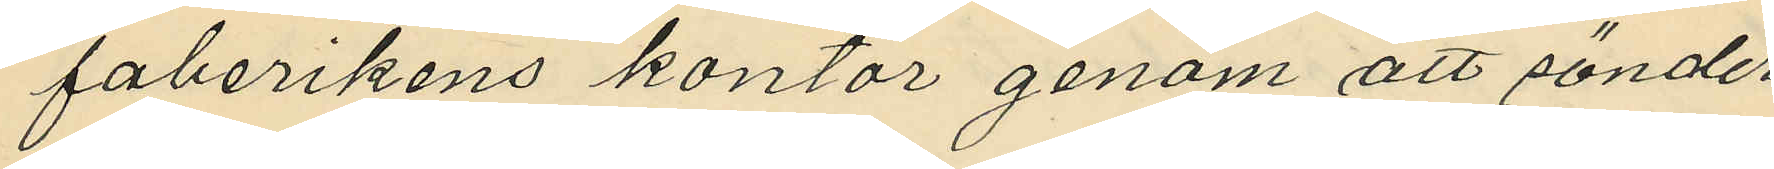faberikens kontor genom att sönder¬
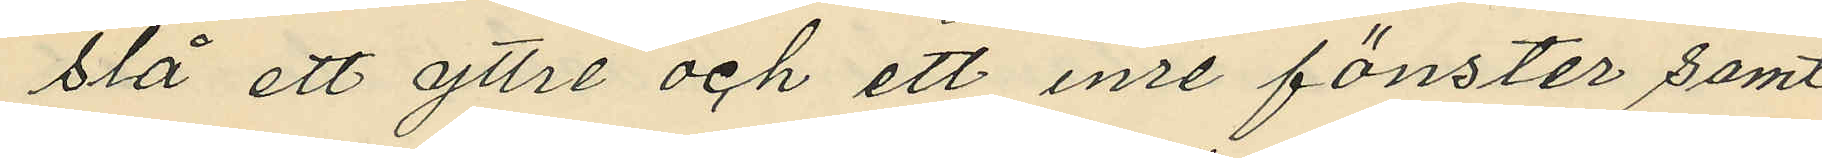slå ett yttre och ett inre fönster samt
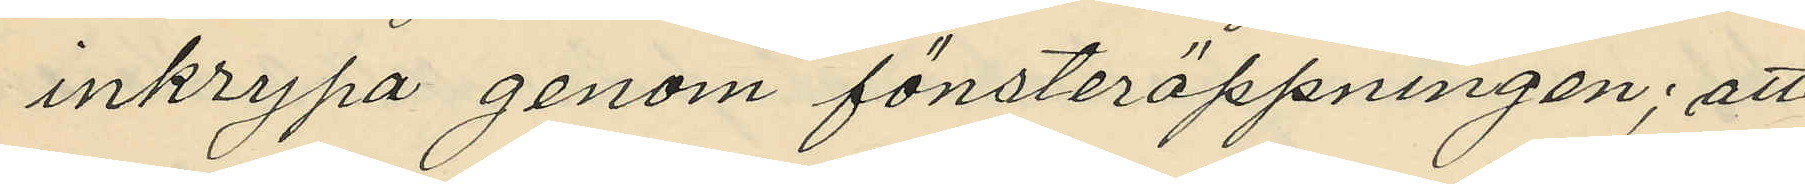inkrypa genom fönsteröppningen; att
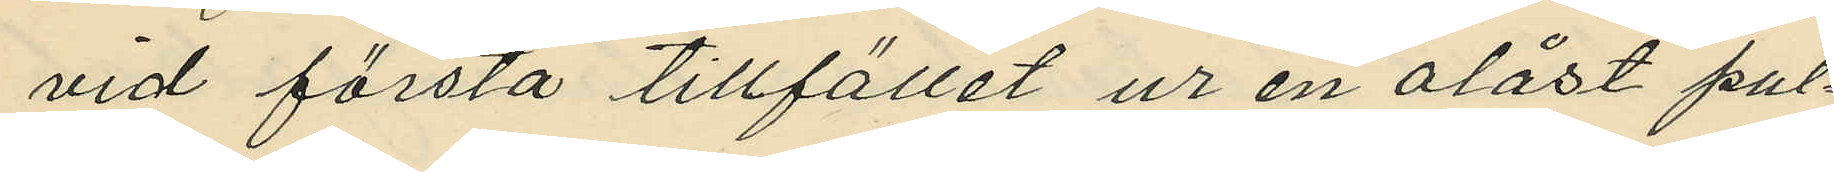vid första tillfället ur en olåst pul¬
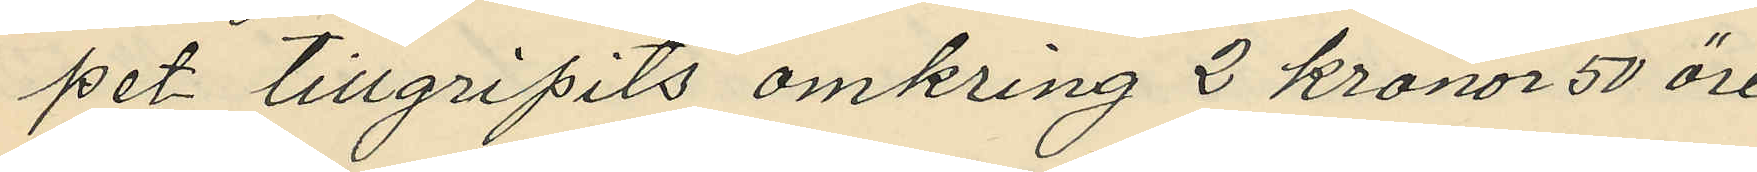pet tillgripits omkring 2 kronor 50 öre
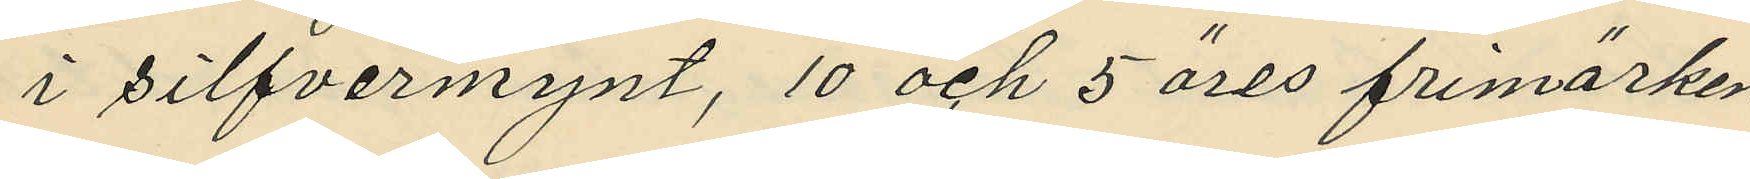i silfvermynt, 10 och 5 öres frimärken
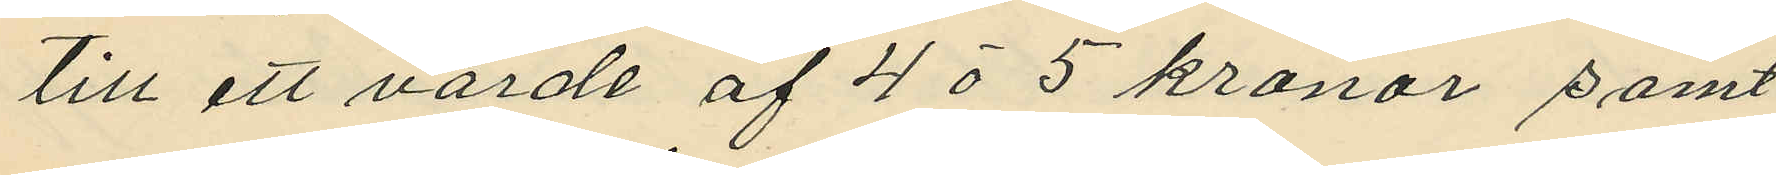till ett värde af 4 à 5 kronor samt
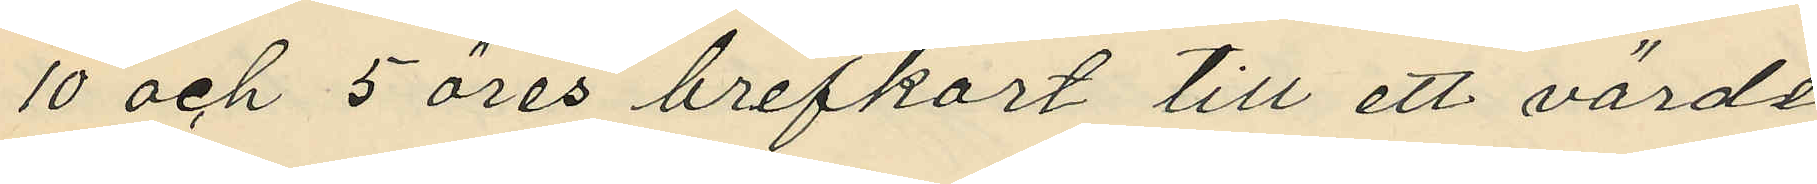10 och 5 öres brefkort till ett värde
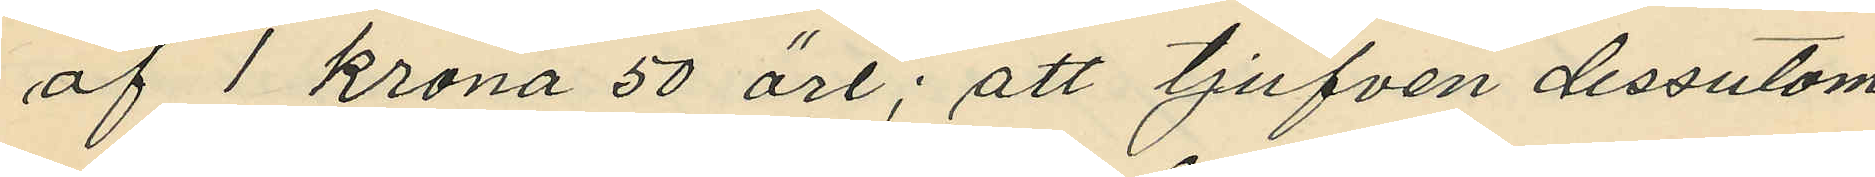af 1 krona 50 öre; att tjufven dessutom
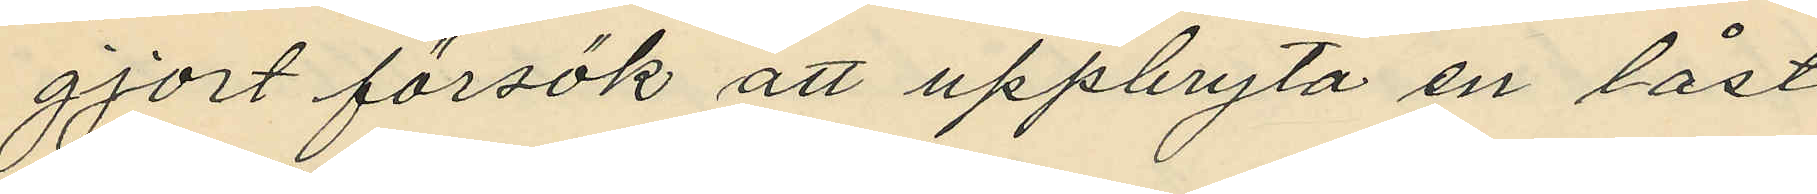gjort försök att uppbryta en låst
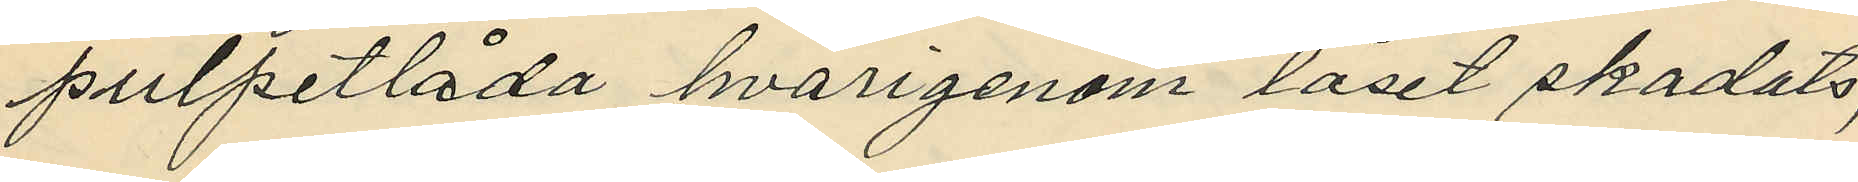pulpetlåda hvarigenom låset skadats;
